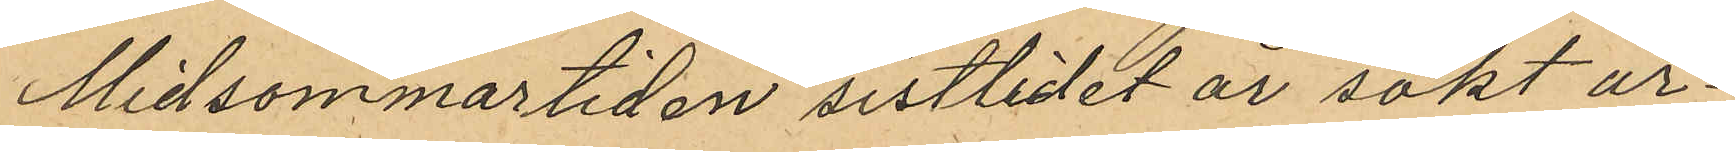Midsommartiden sistlidet år sökt ar¬
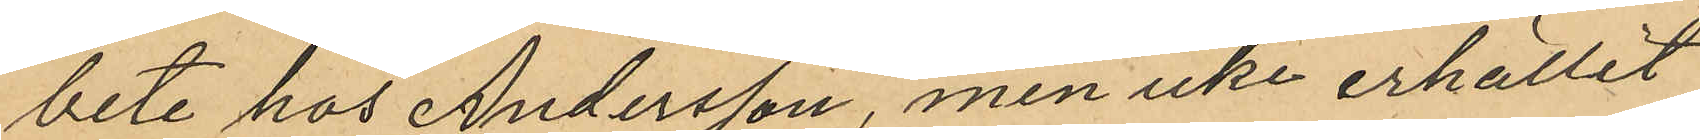bete hos Andersson, men icke erhållit
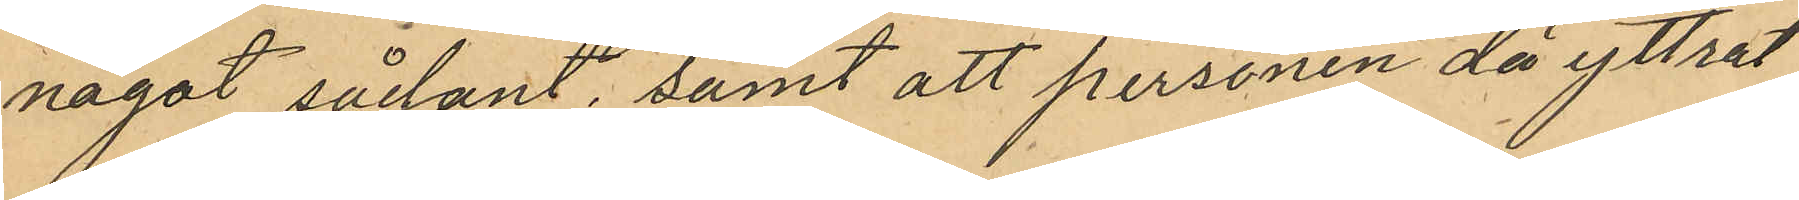något sårkänt, samt att personen då yttrat
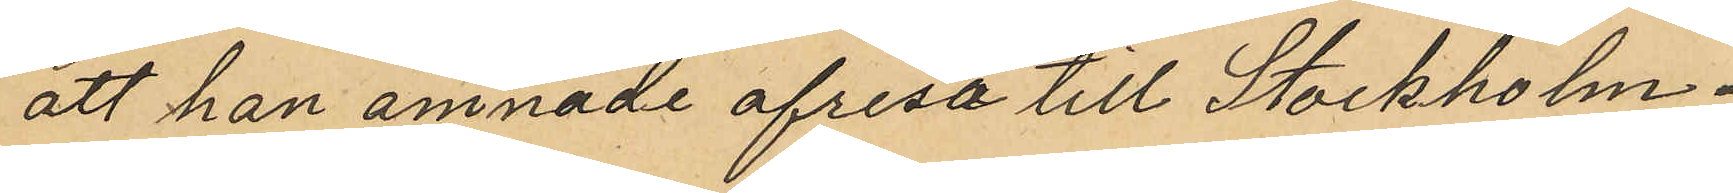att han ämnade afresa till Stockholm.
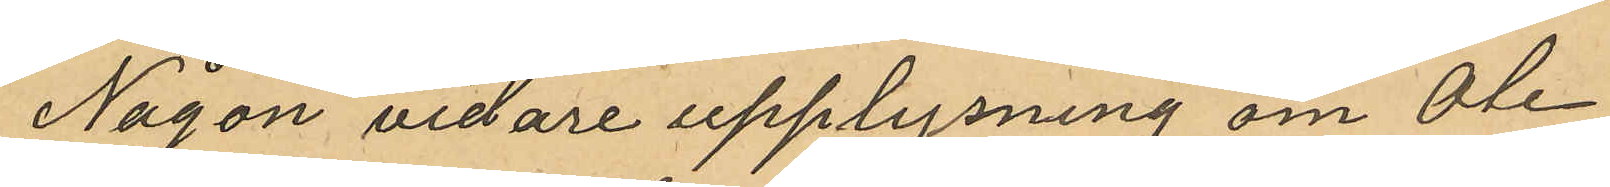Någon vidare upplysning om Ole
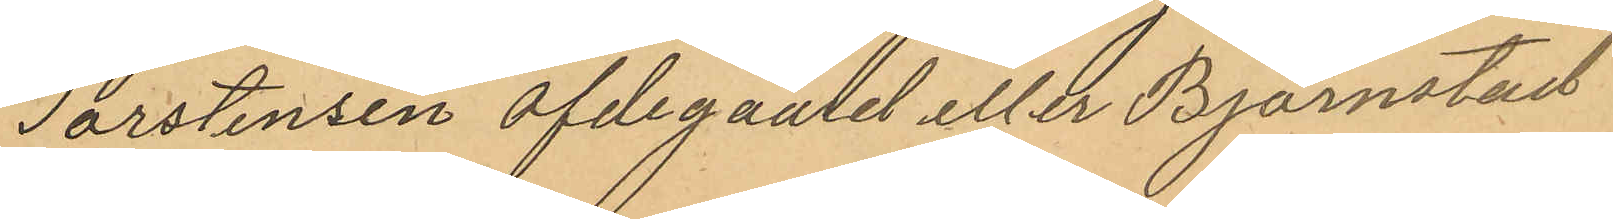Torstensen Ofdegaard eller Björnstad
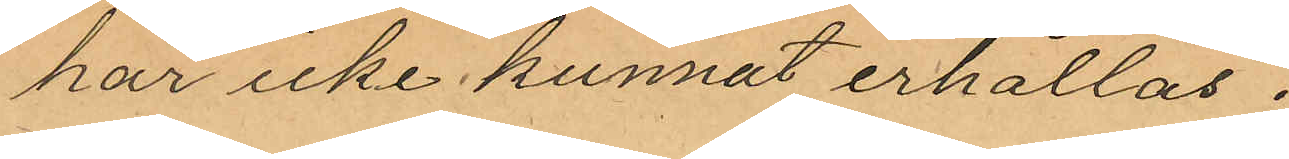har icke kunnat erhållas.
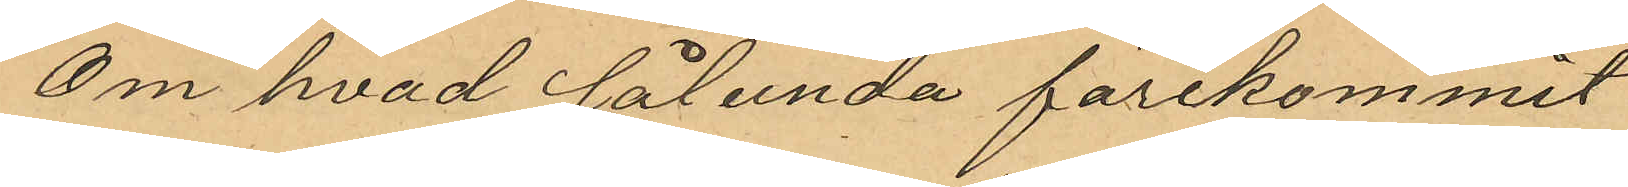Om hvad sålunda förekommit
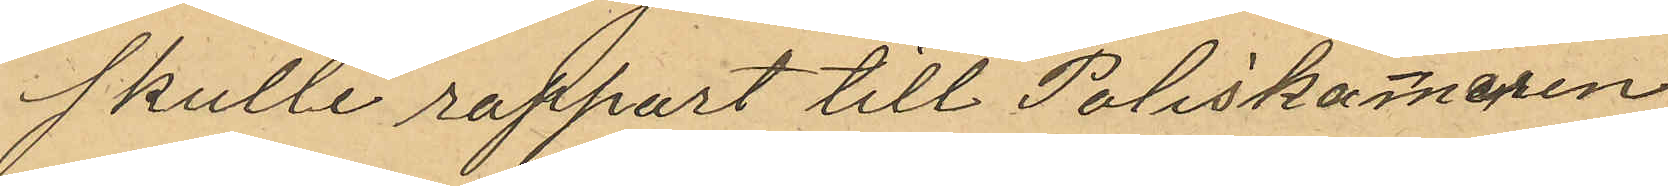skulle rapport till Poliskammaren
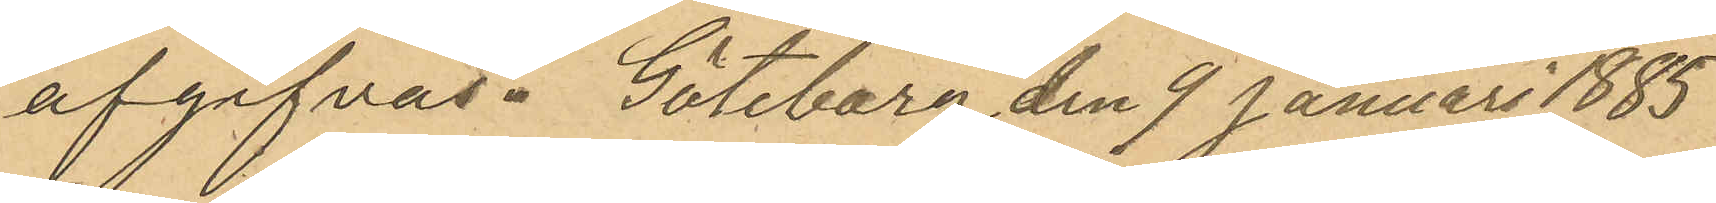afgifvas. Göteborg den 9 Januari 1885.
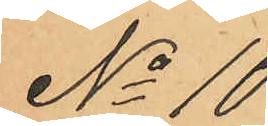No 10
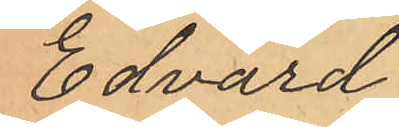Edvard
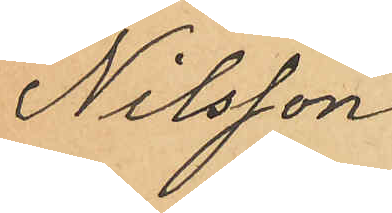Nilsson
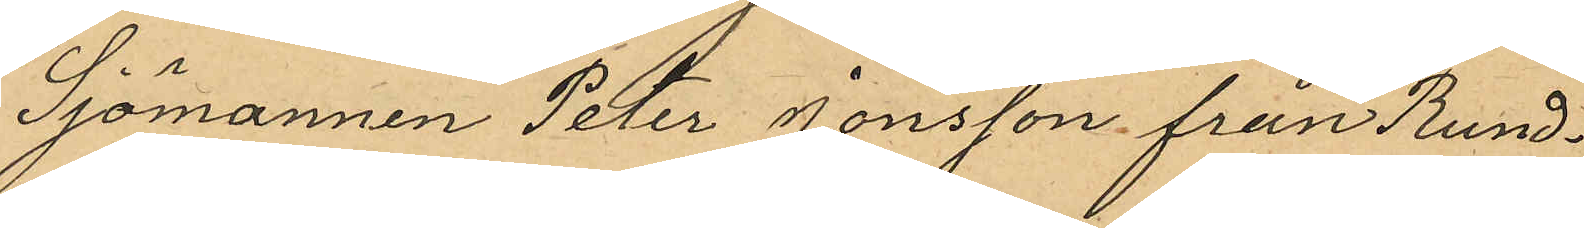Sjömannen Peter Jonsson från Rund¬
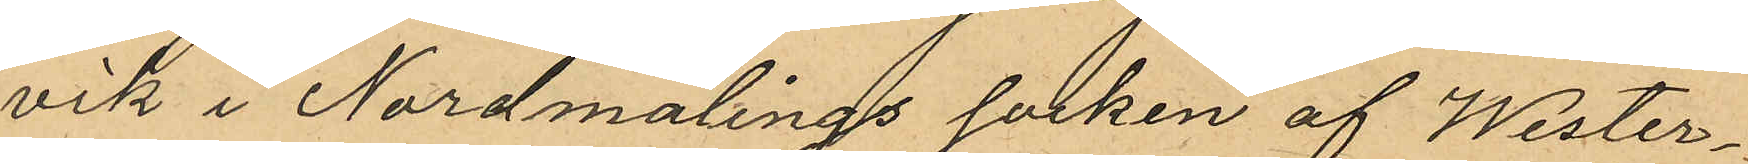vik i Nordmalings socken af Wester¬
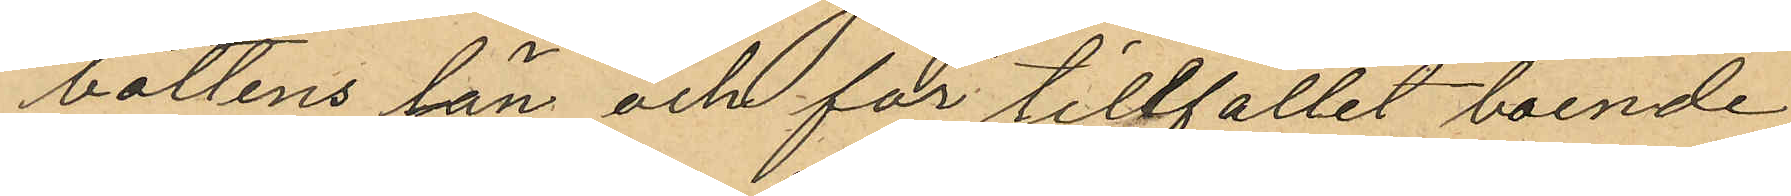bottens län och för tillfället boende
